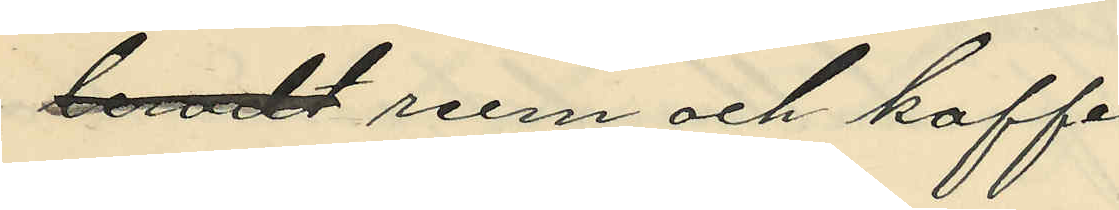leradt rum och kaffe.
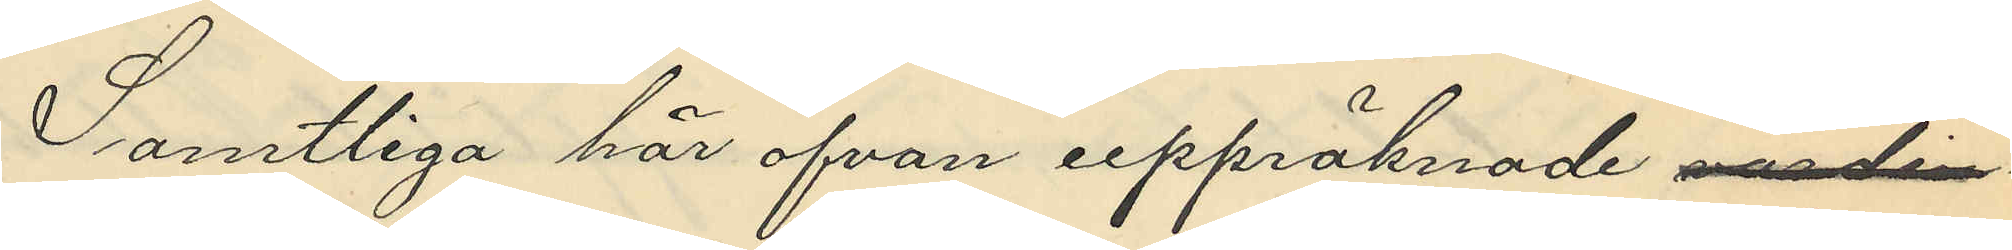Samtliga här ofvan uppräknade värdin¬
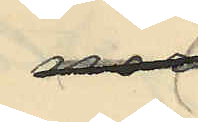nor
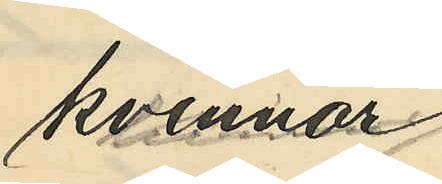kvinnor
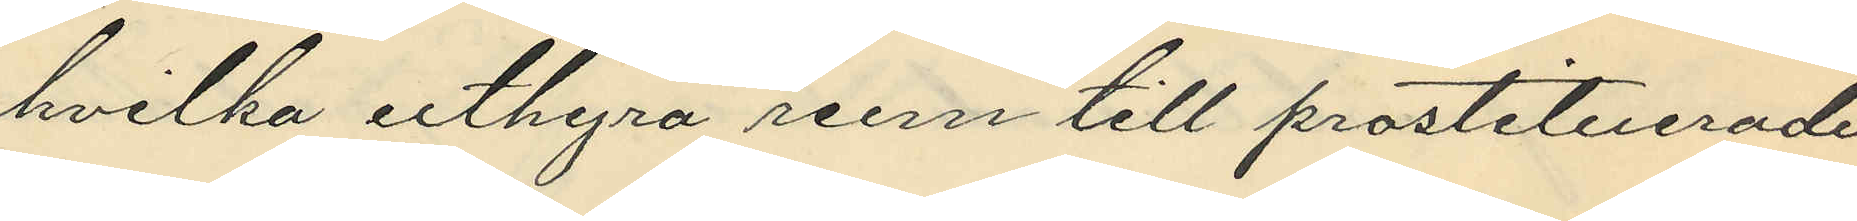hvilka uthyra rum till prostituerade
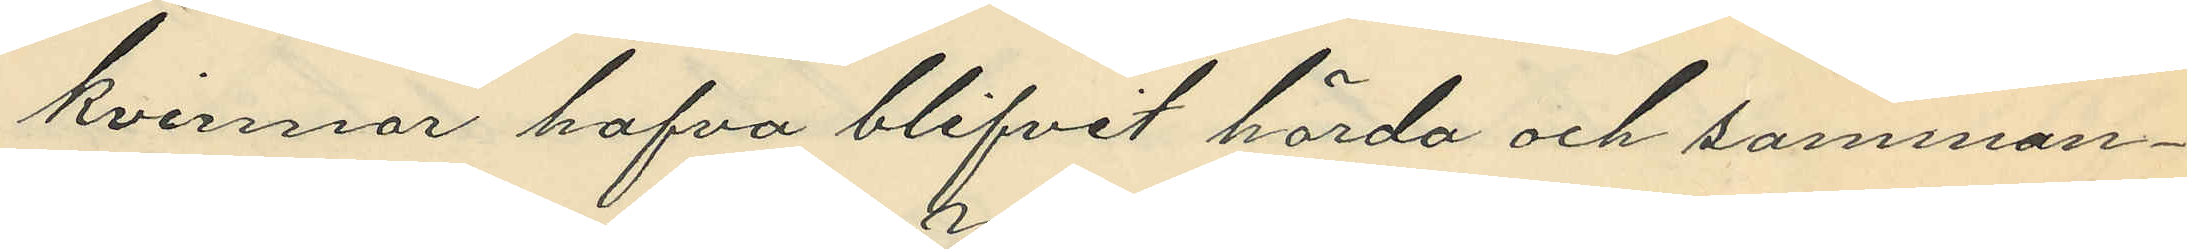kvinnor hafva blifvit hörda och samman¬
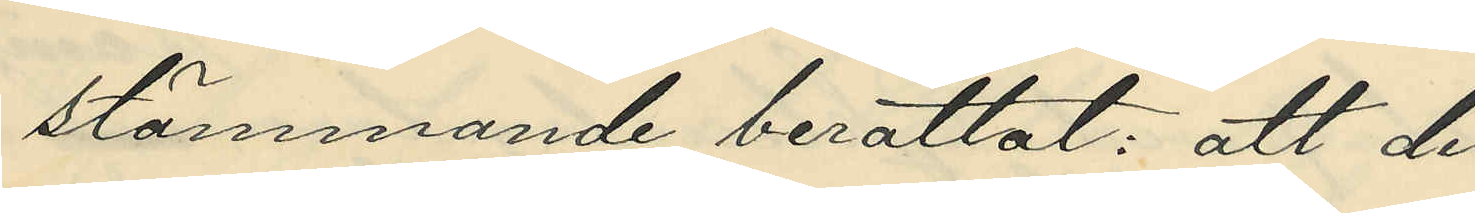stämmande berättat: att de
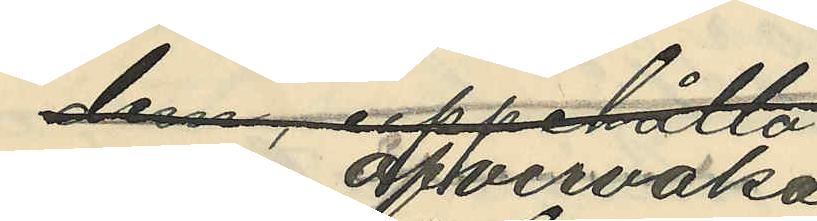noga öfvervaka
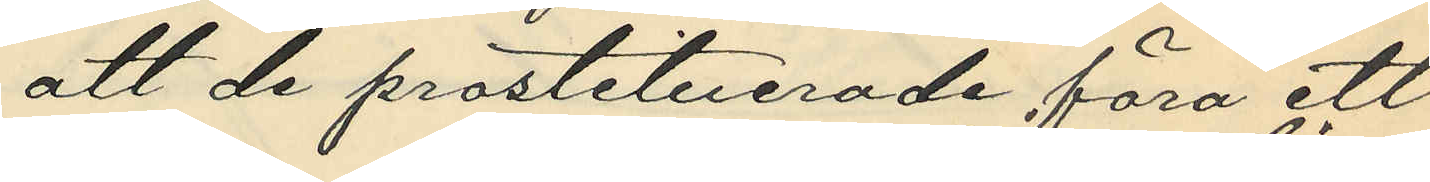att de prostituerade föra ett
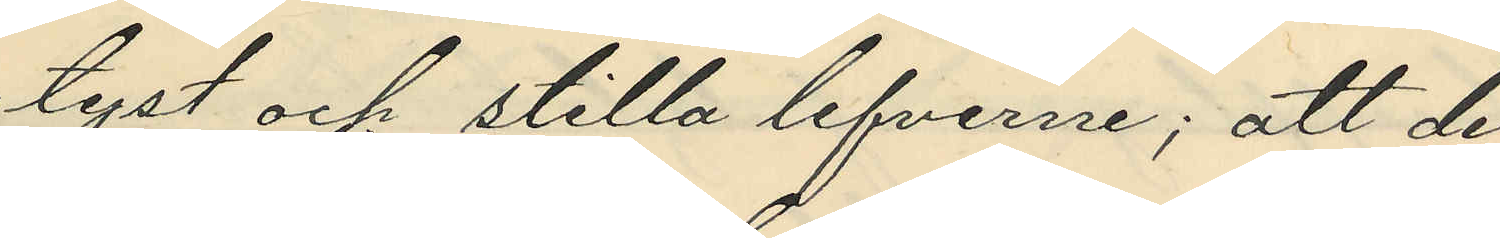tyst och stilla lefverne; att de
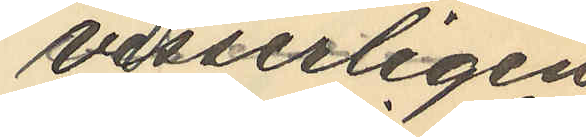visserligen
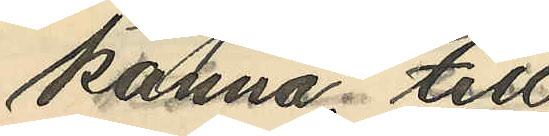känna till
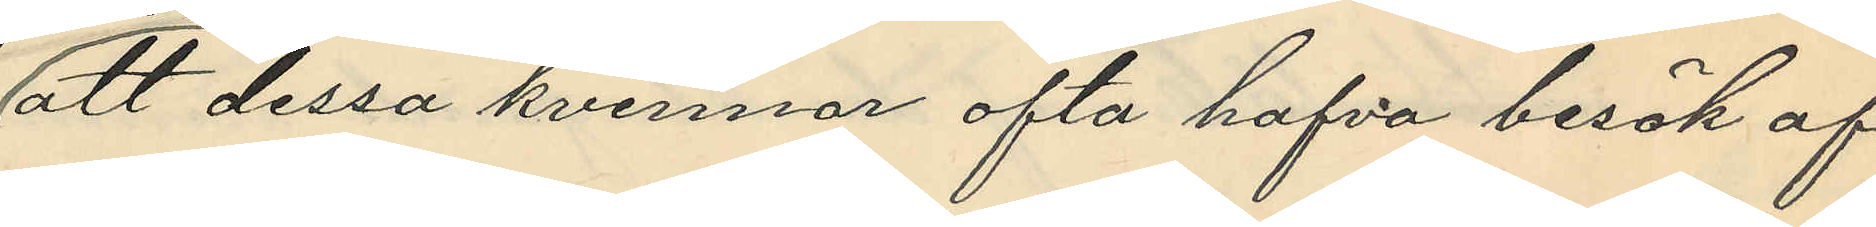att dessa kvinnor ofta hafva besök af
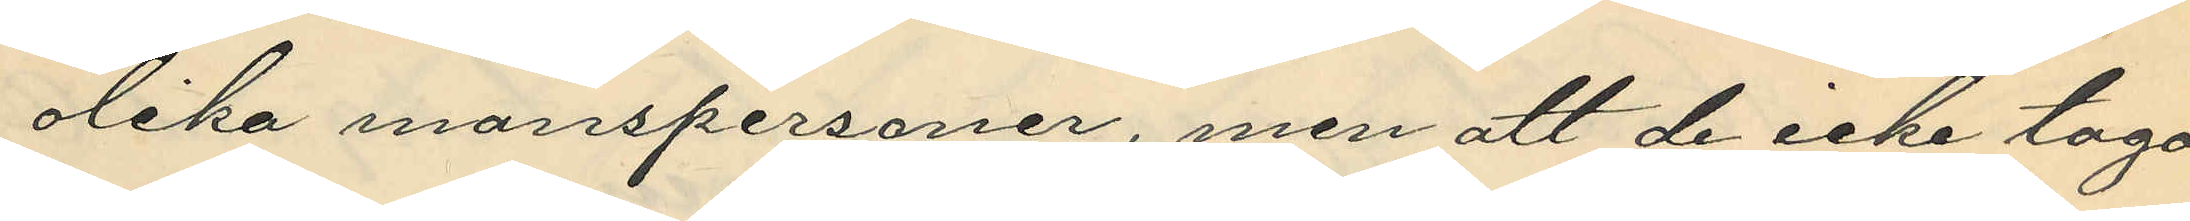olika manspersoner, men att de icke taga
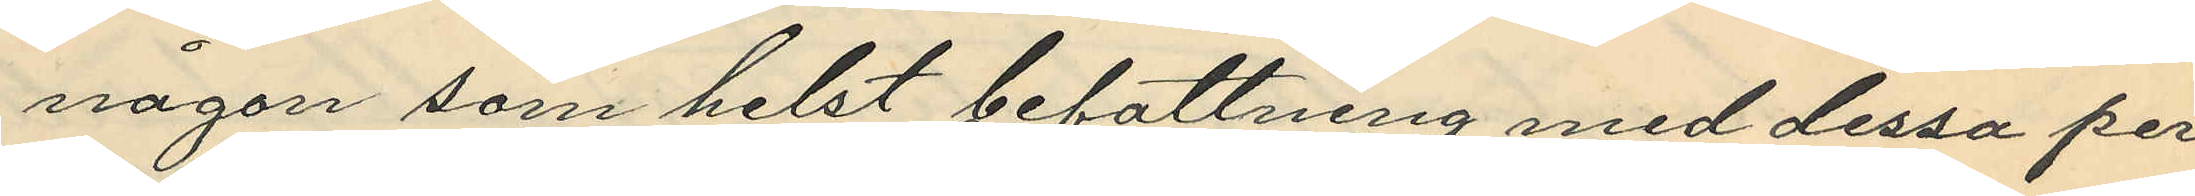någon som helst befattning med dessa per¬
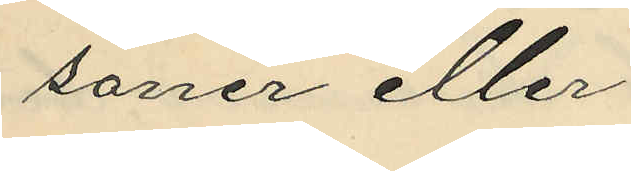soner eller
